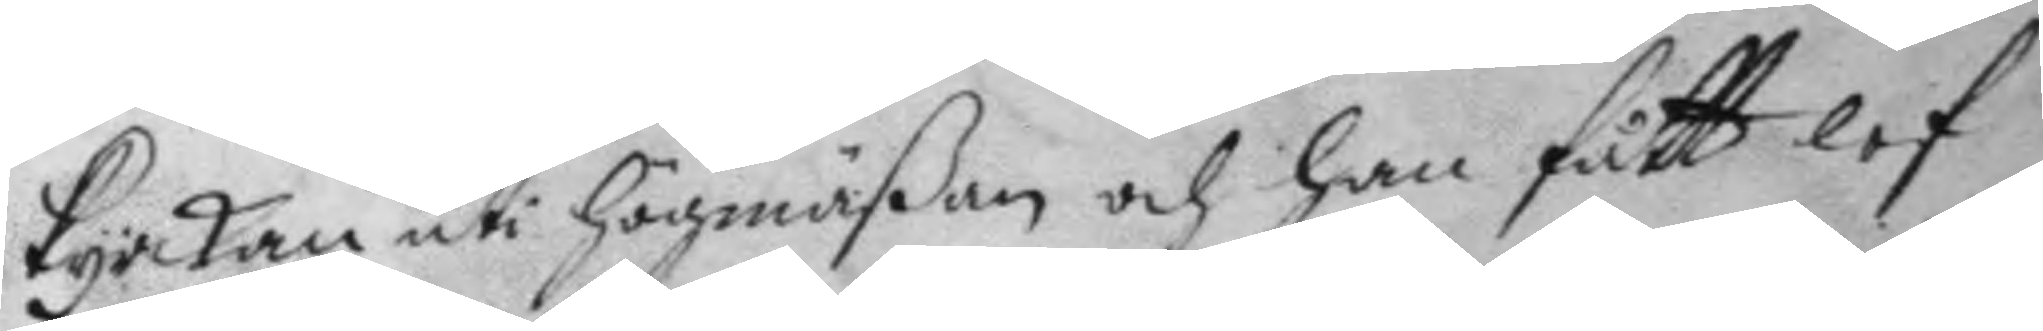kyrkan uti högmäßan och han fått lof
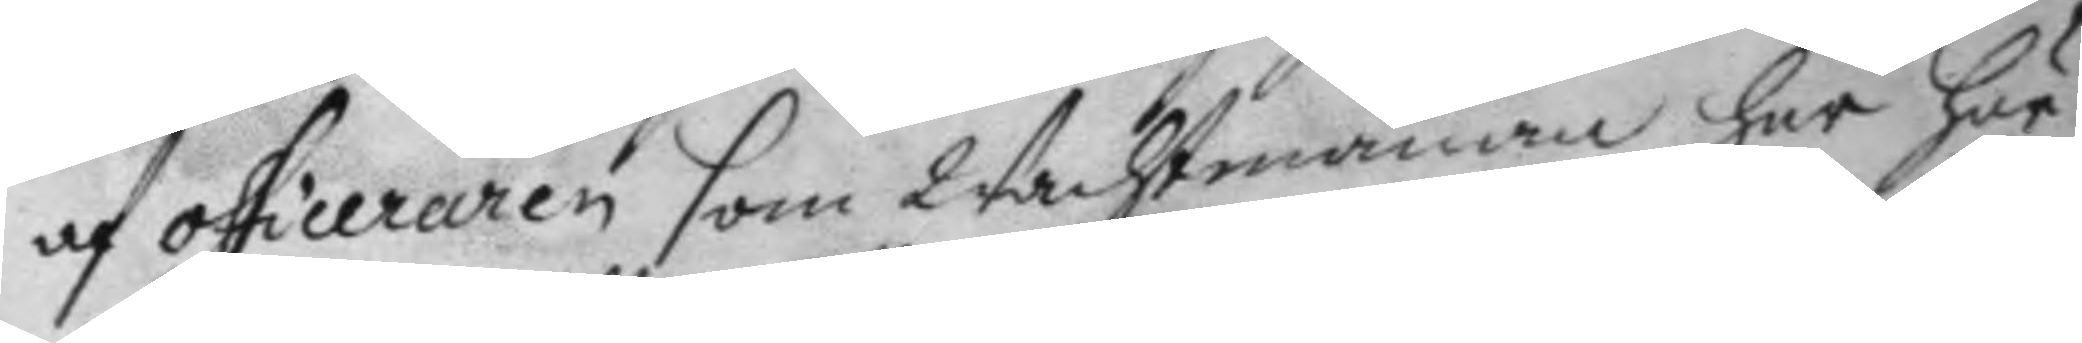af officeraren som Wachtmänan har här
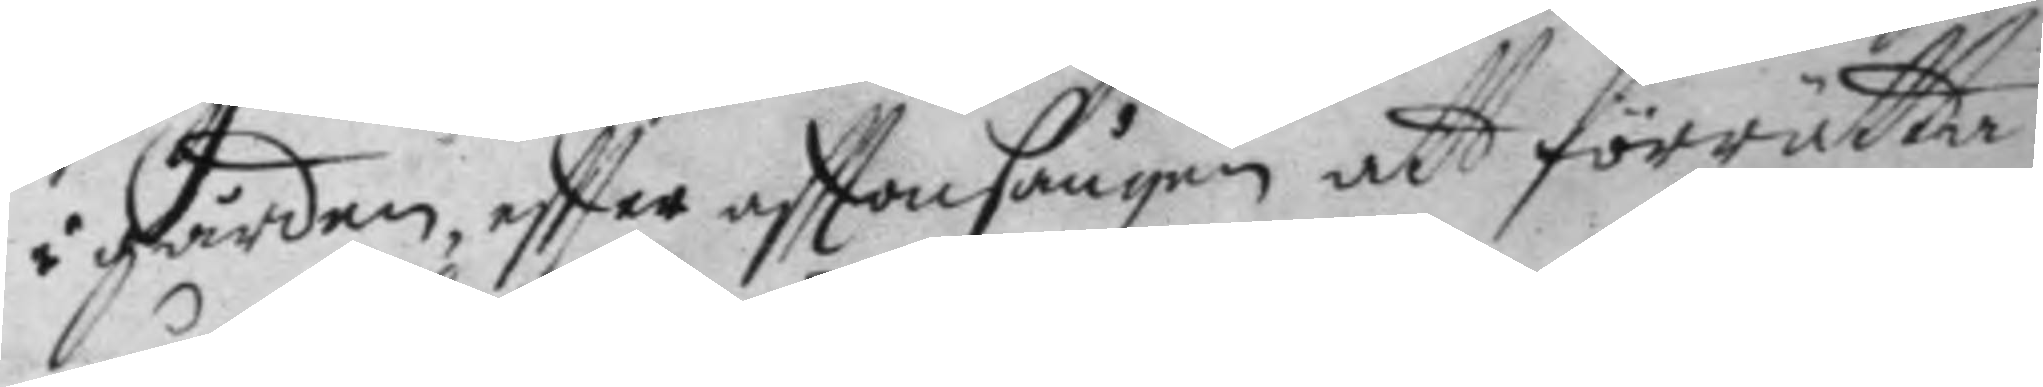i gården, eftter afttonsången att förrätta
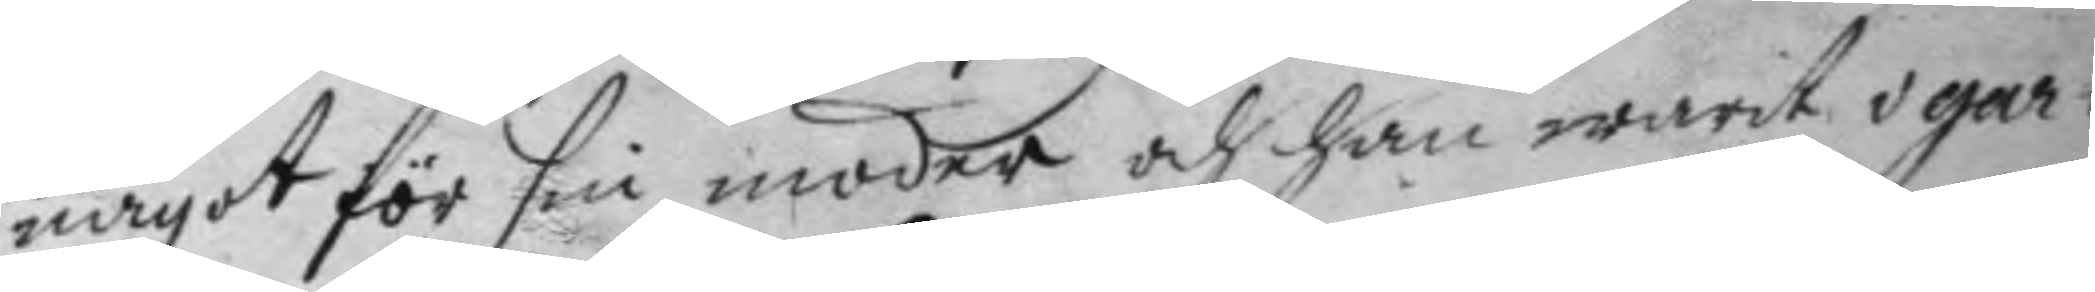något för sin moder och han warit i gar¬
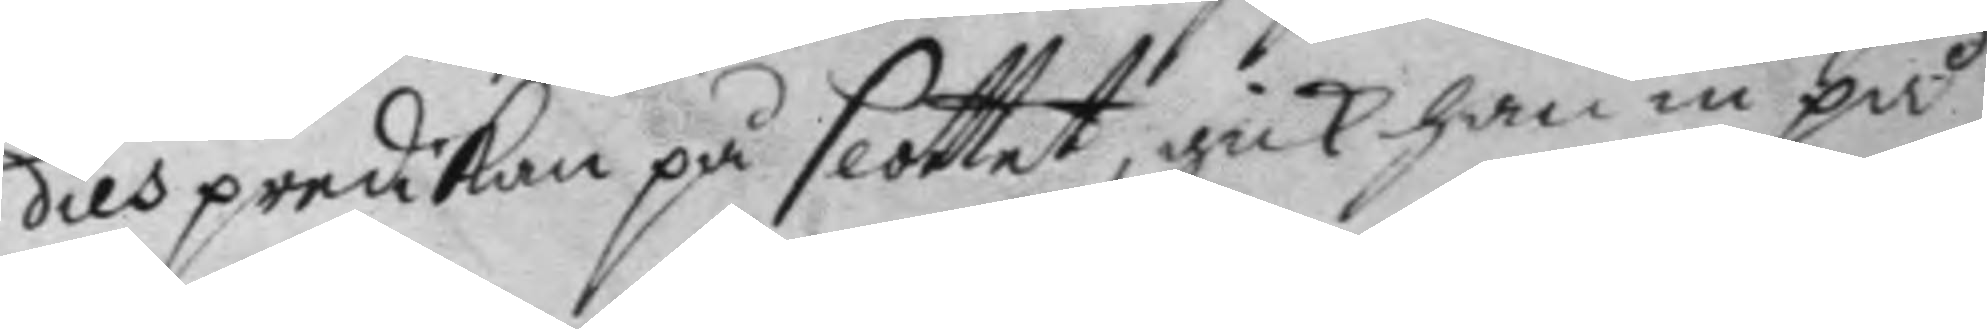dies predikan på slottet, gick han in på
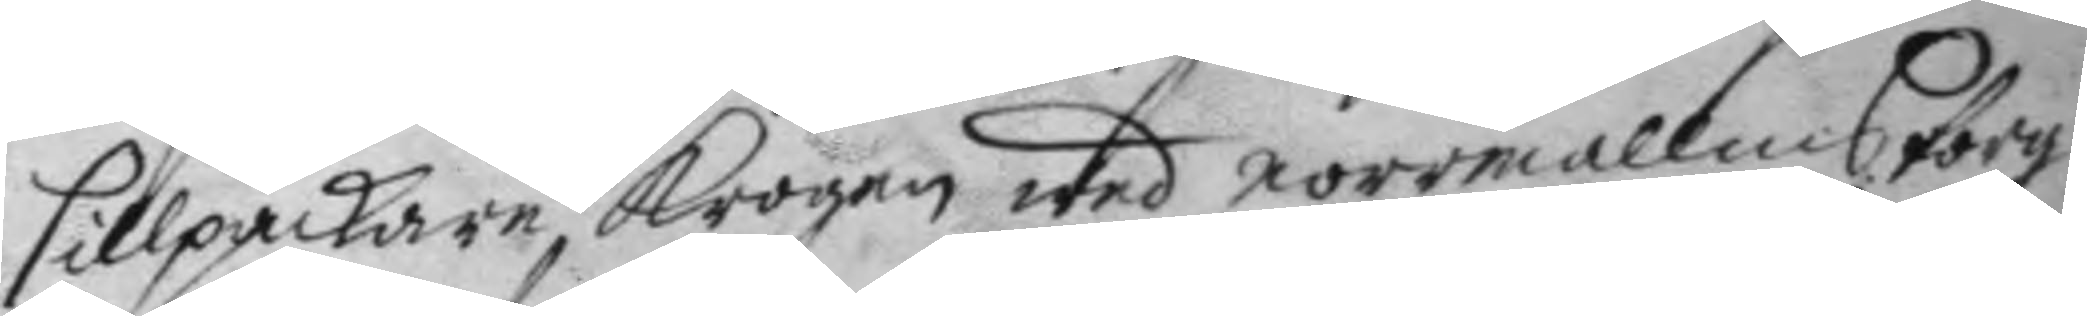sillpackare krogen wed morrmallms torg
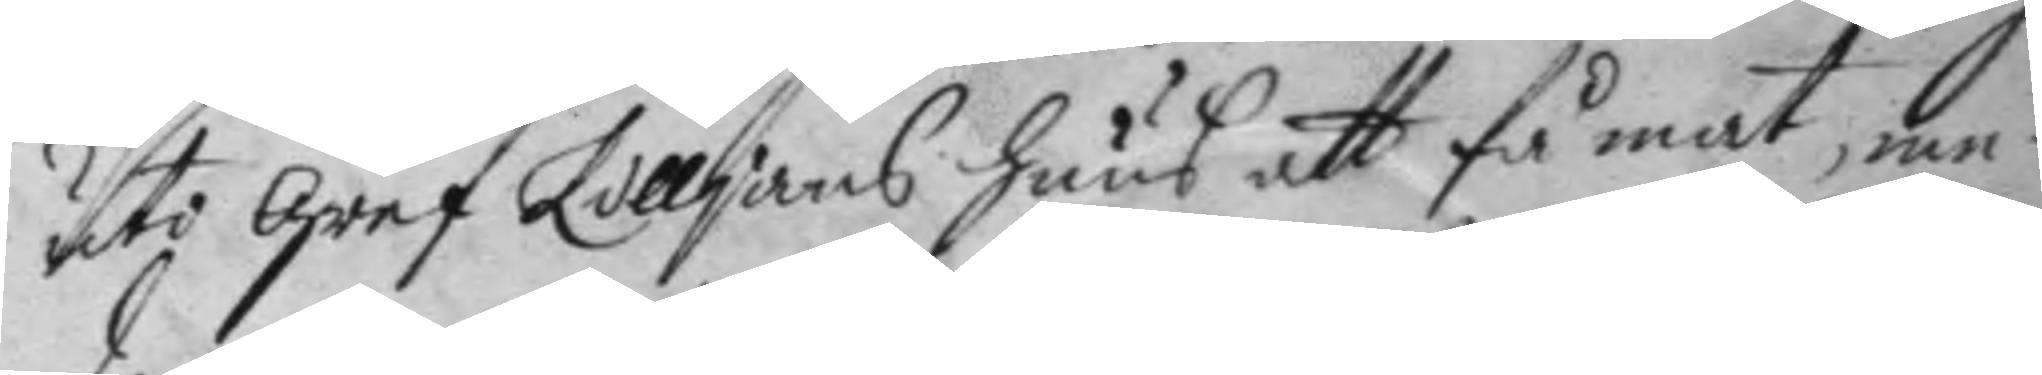uti gref Lilljans huus att få mat, me¬
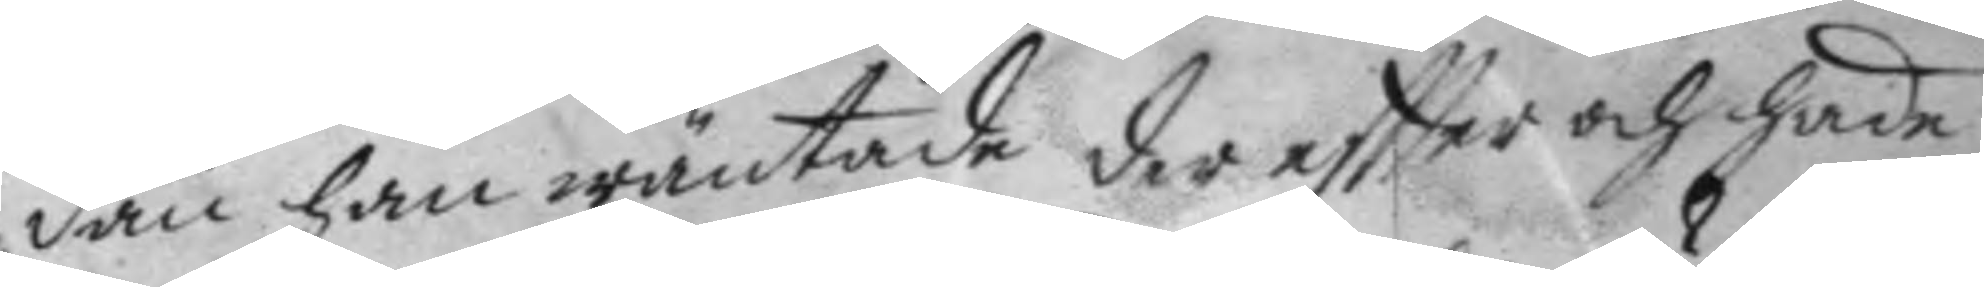dan han wäntade der eftter och hade
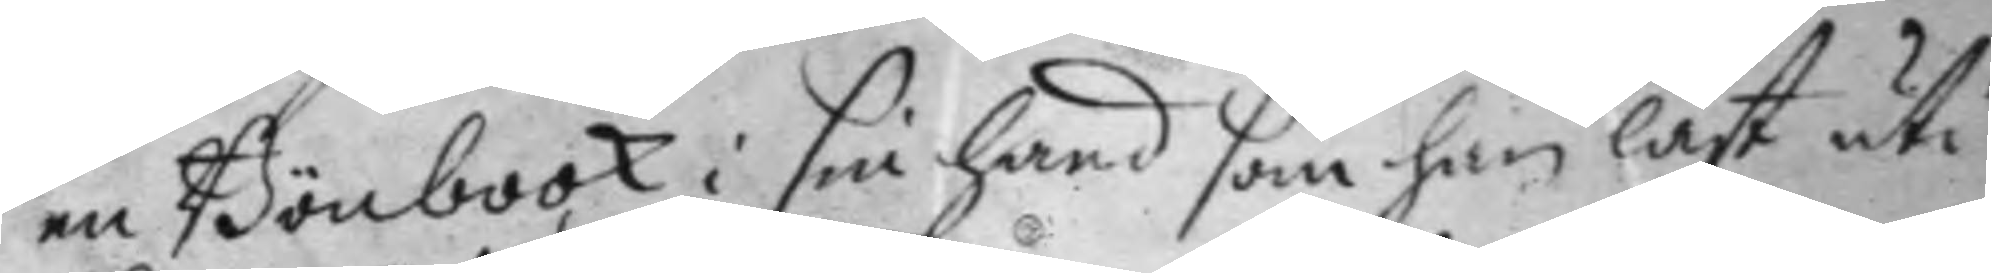en Bönbook i sin hand som han läst uti
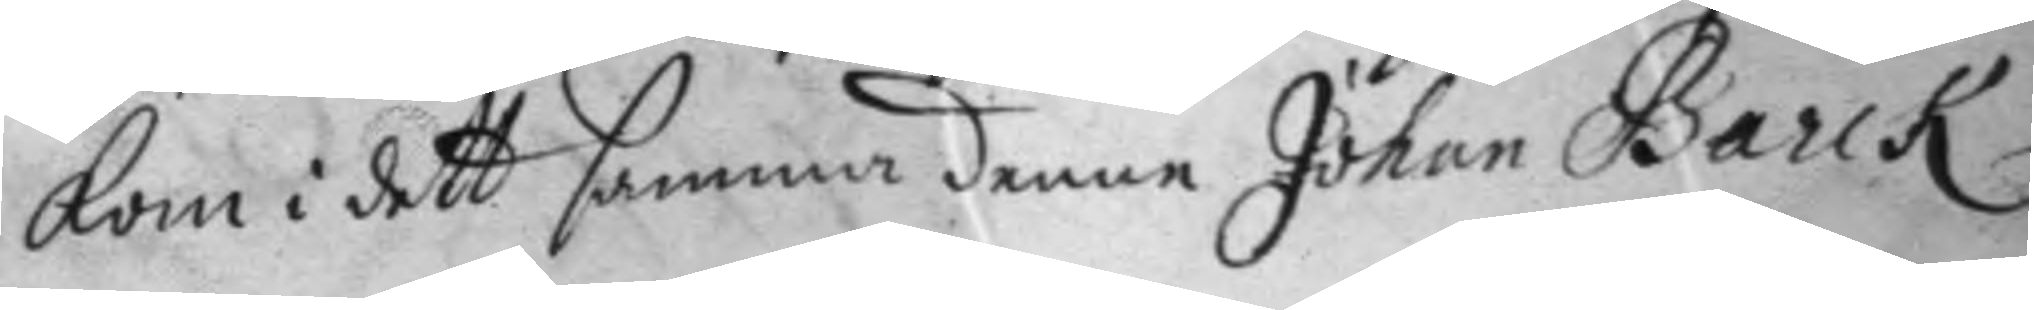kom i dett samma denne Johan Barck
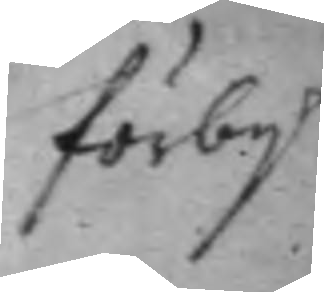förby
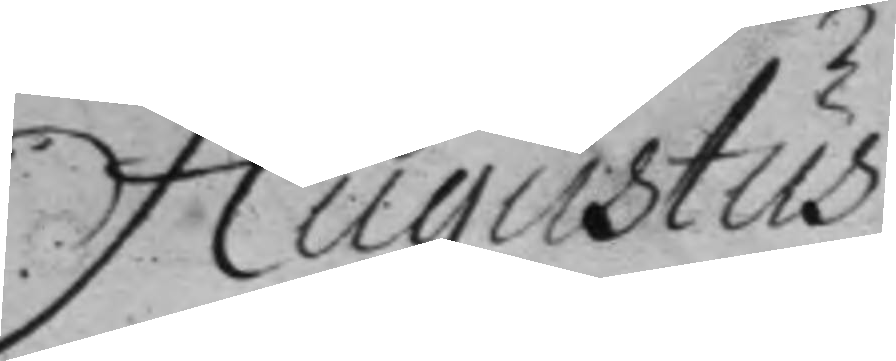Augustus
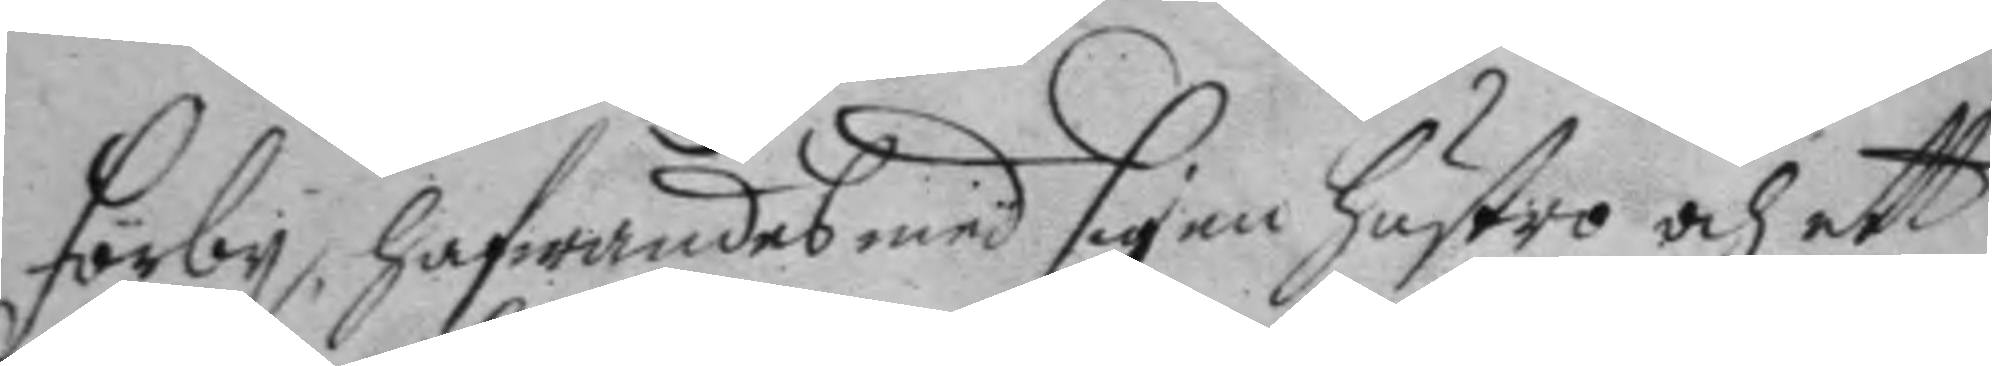förby, hafwandes med sig en hustro och ett
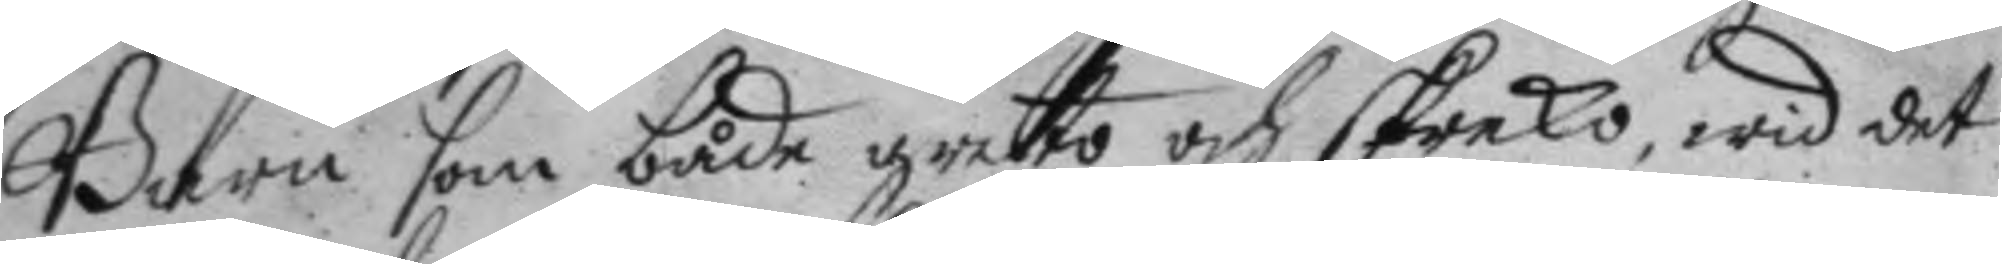Barn som både greto och skreko, wid det
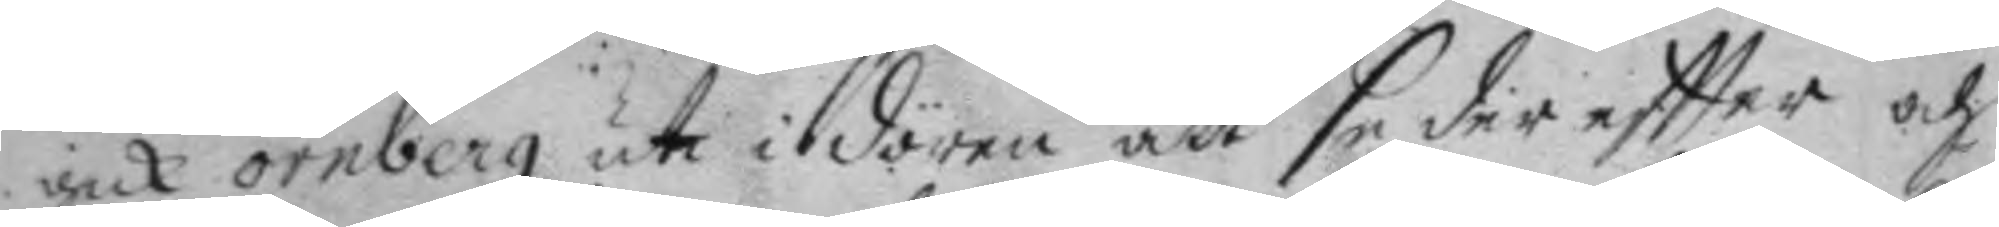gick örnberg uti i dören att se der eftter och
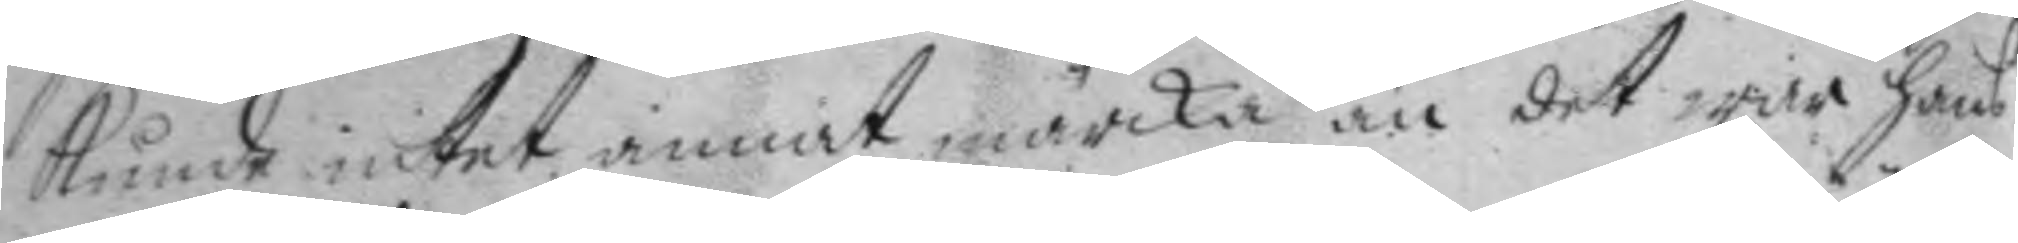kunde intet annat märcka än det war hans
